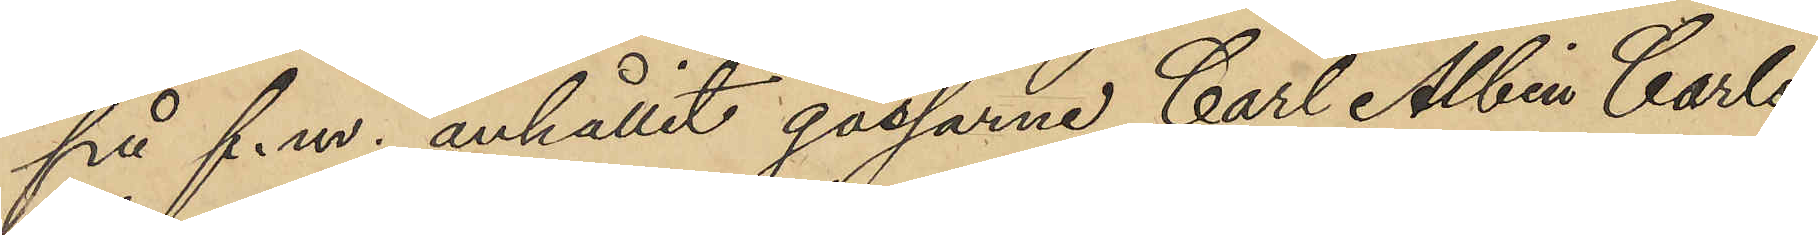på f.m. anhållit gossarne Carl Albin Carls¬
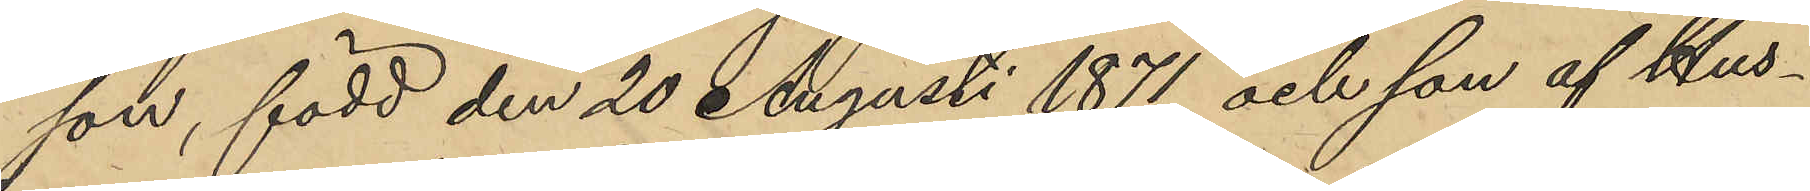son, född den 20 Augusti 1871 och son af Hus¬
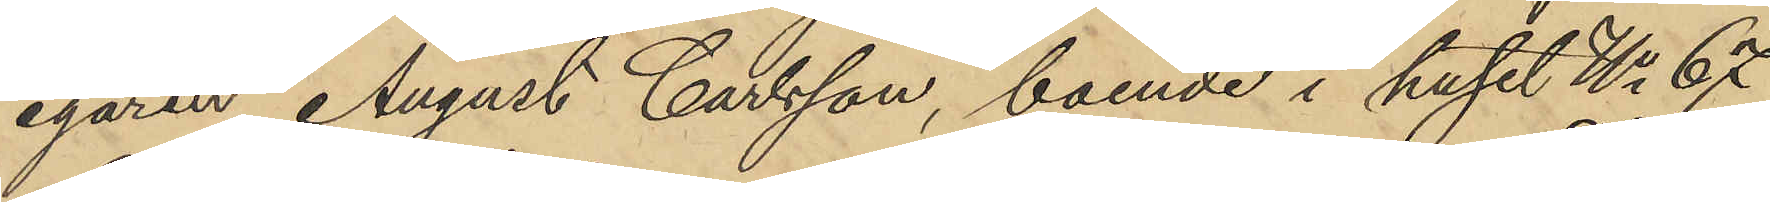egaren August Carlsson, boende i huset No 67
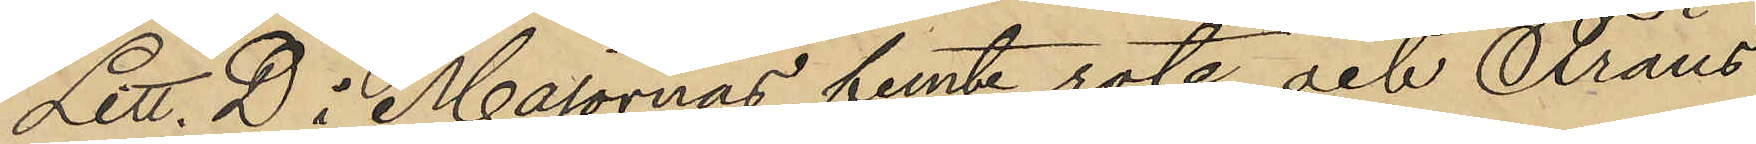Litt. D i Majornas femte rote och Frans
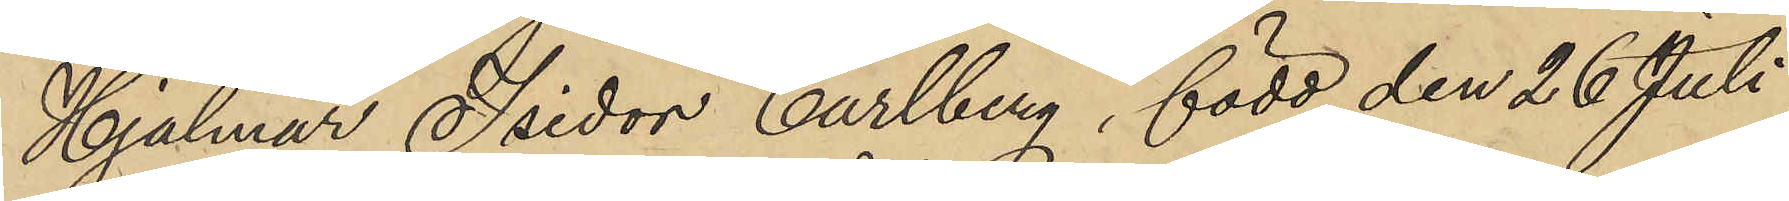Hjalmar Isidor Carlberg, född den 26 Juli
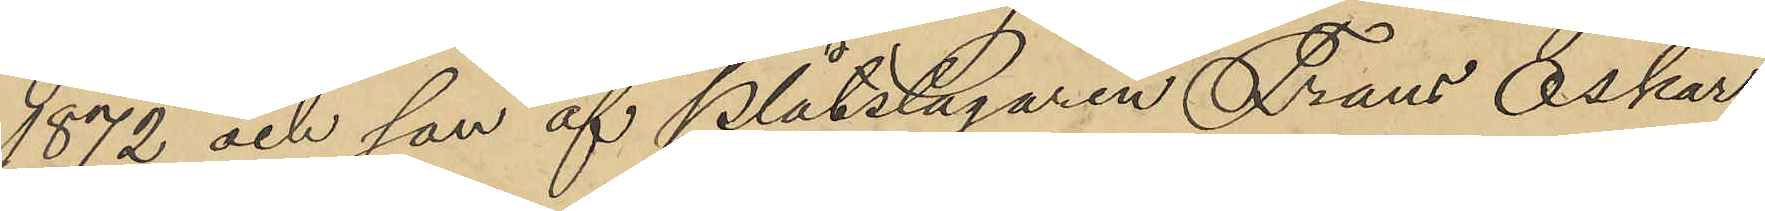1872 och son af Plåtslagaren Frans Oskar
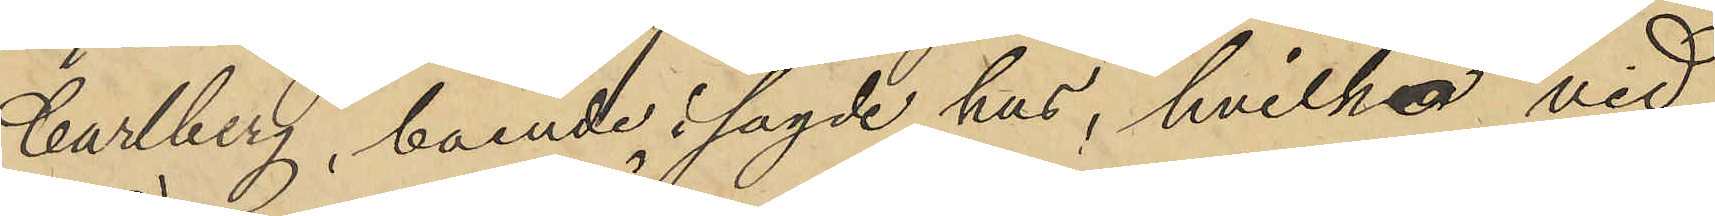Carlberg, boende i sagde hus, hvilka vid
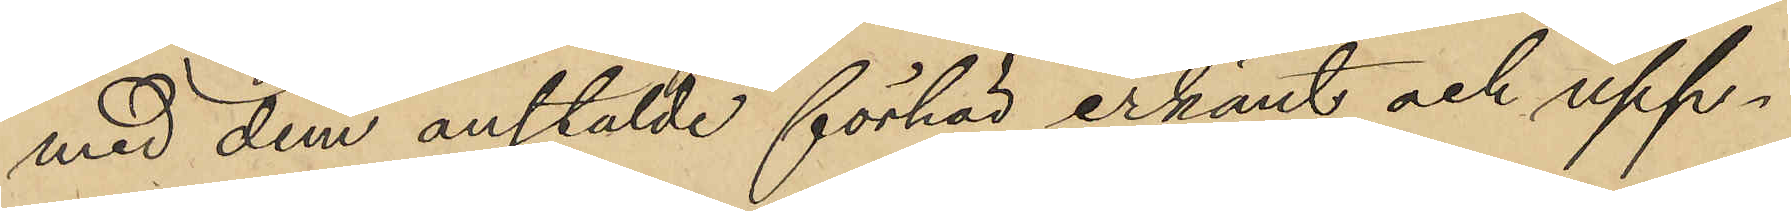med dem anstälde förhör erkänt och upp¬
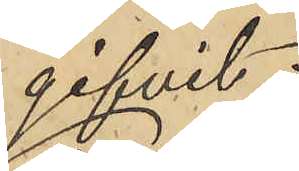gifvit:
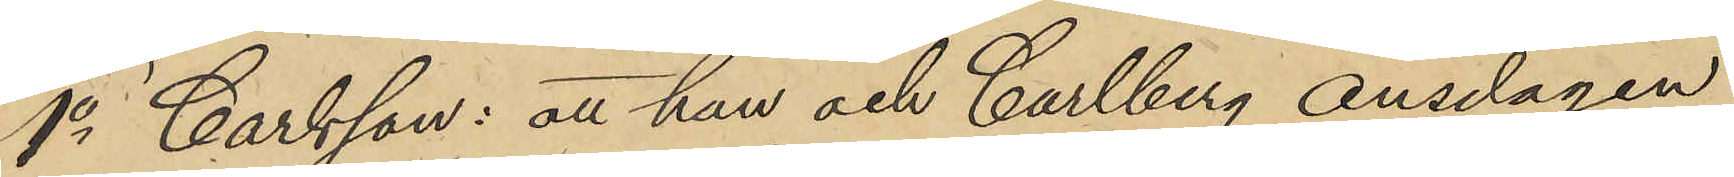1o Carlsson: att han och Carlberg onsdagen
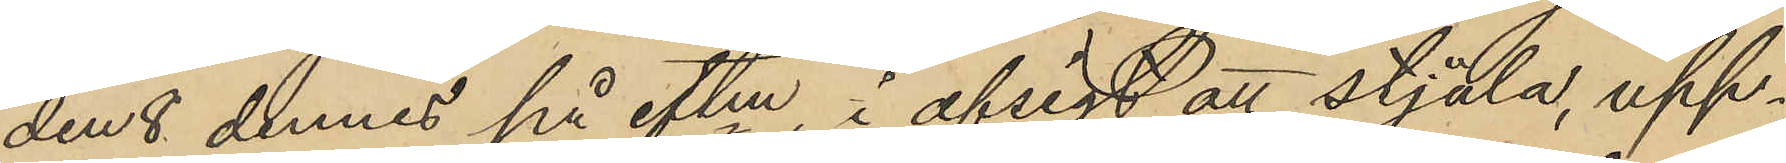den 8 dennes på eftm., i afsigt att stjäla, upp¬
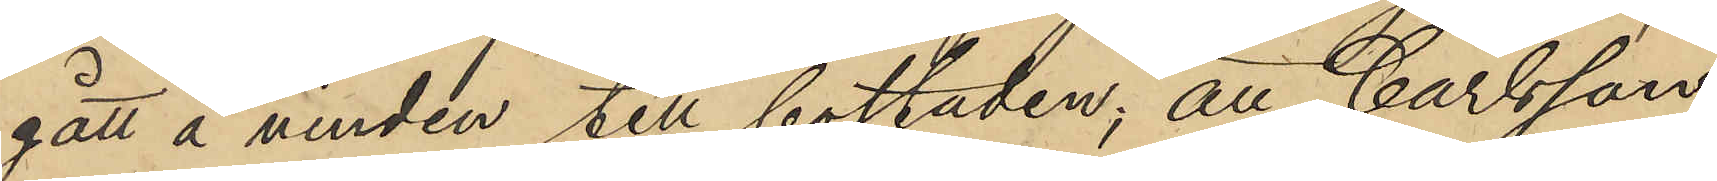gått å vinden till bostaden; att Carlsson
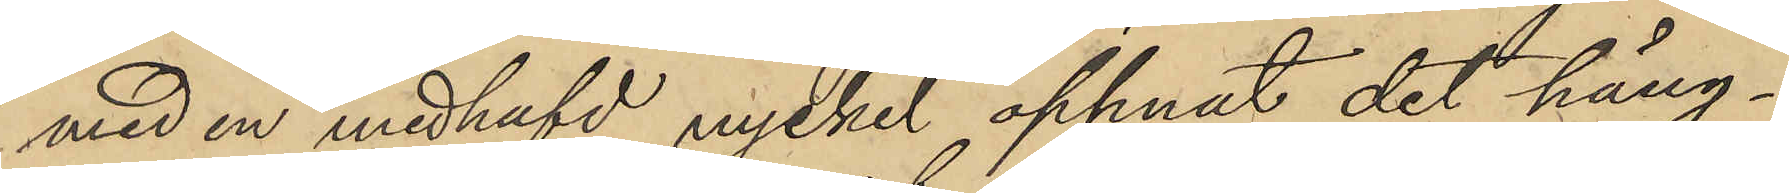med en medhafd nyckel öppnat det häng¬
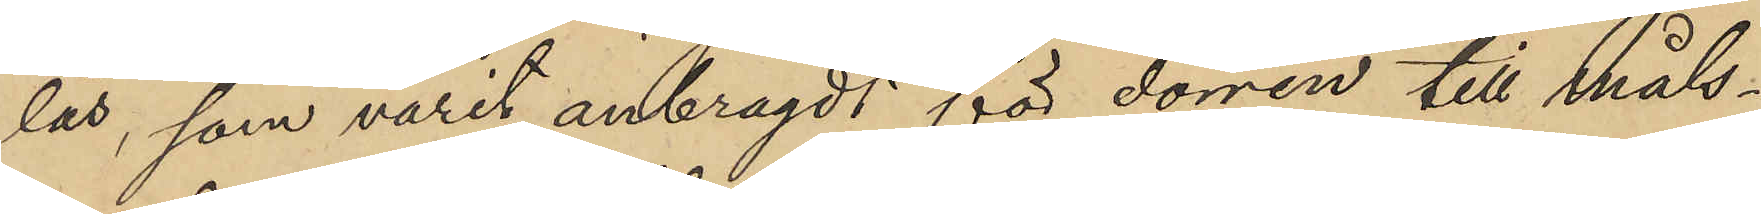lås, som varit anbragdt för dörren till måls¬
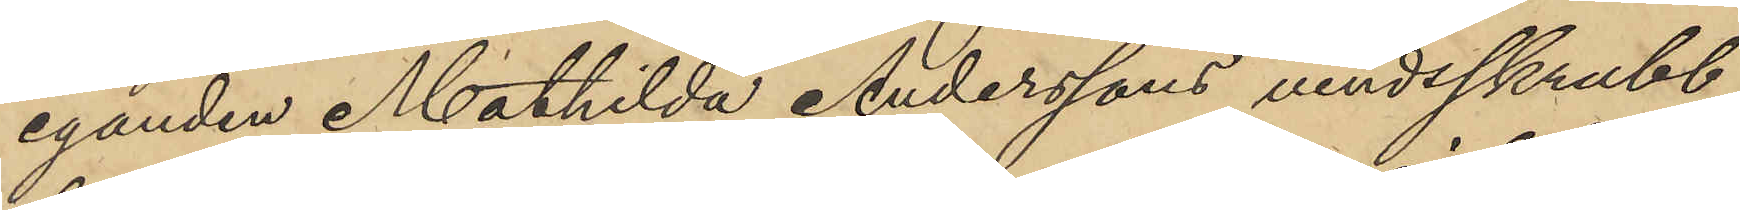eganden Mathilda Anderssons vindsskrubb,
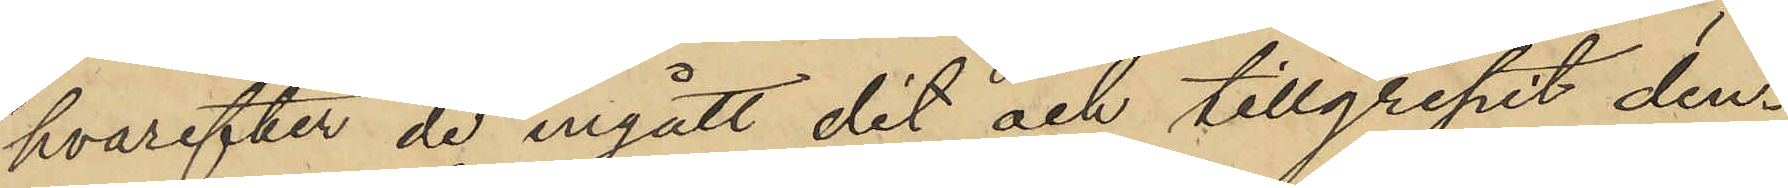hvarefter de ingått dit och tillgripit den¬
